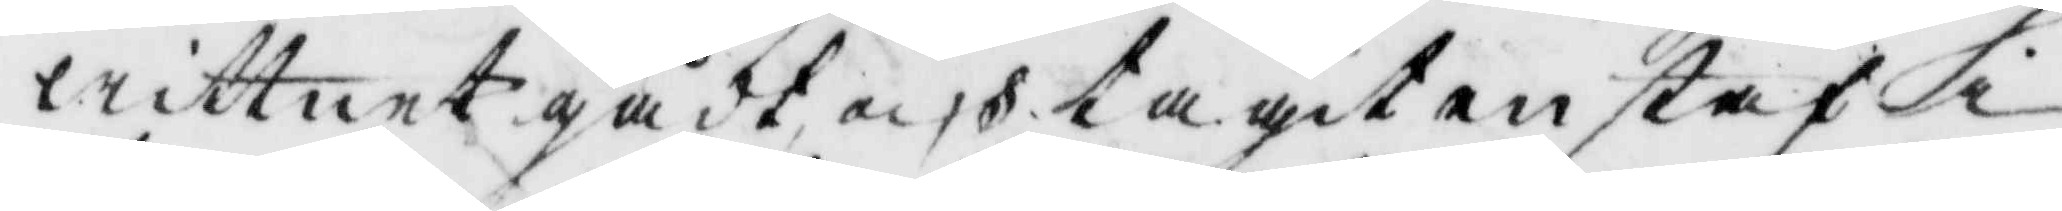wittnet gådt och tagit en staf i
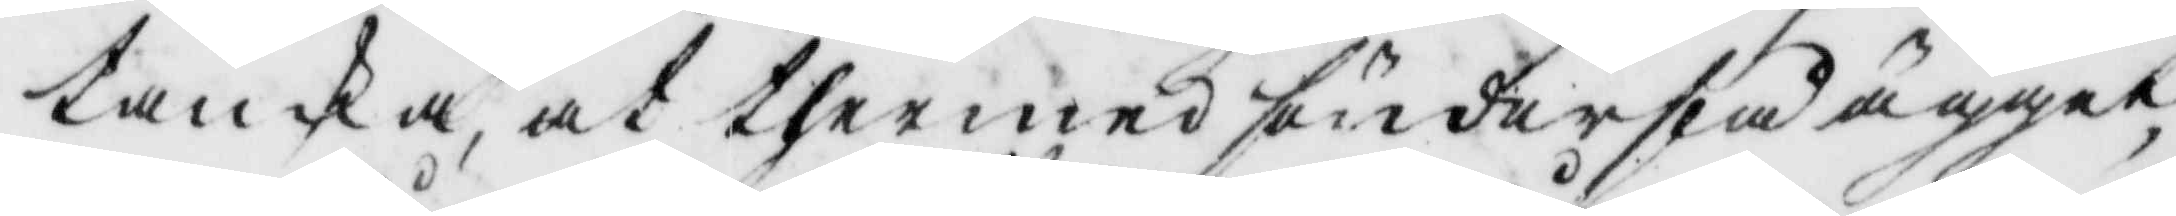tanka, at thermed aönderslå ägget,
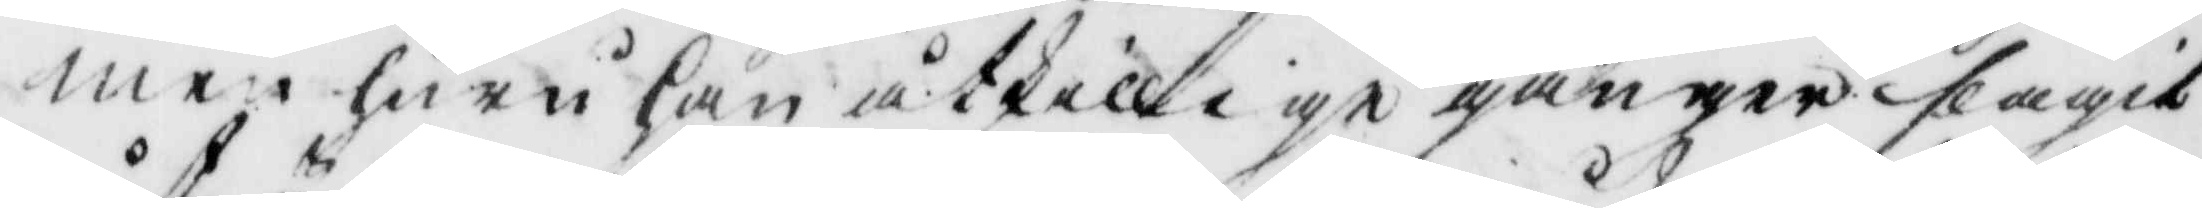men huru han åtskilliga gånger slagit
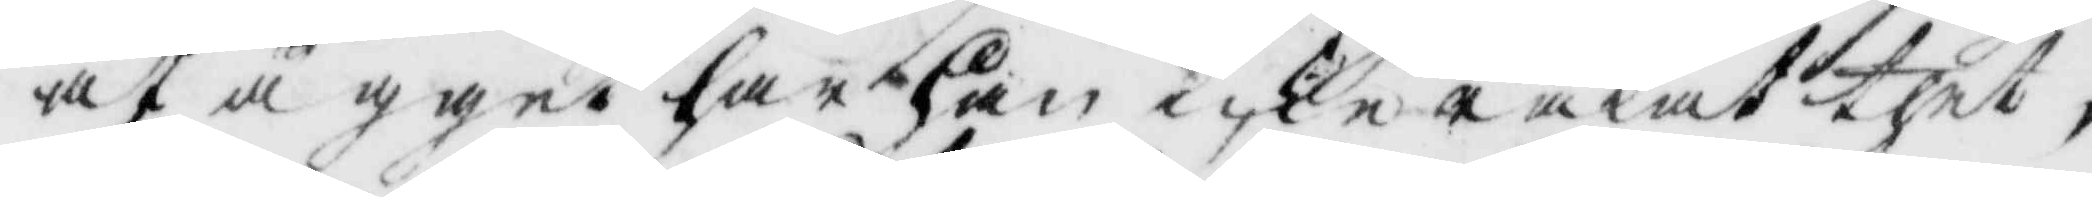åt ägget har han icke råkat thet,
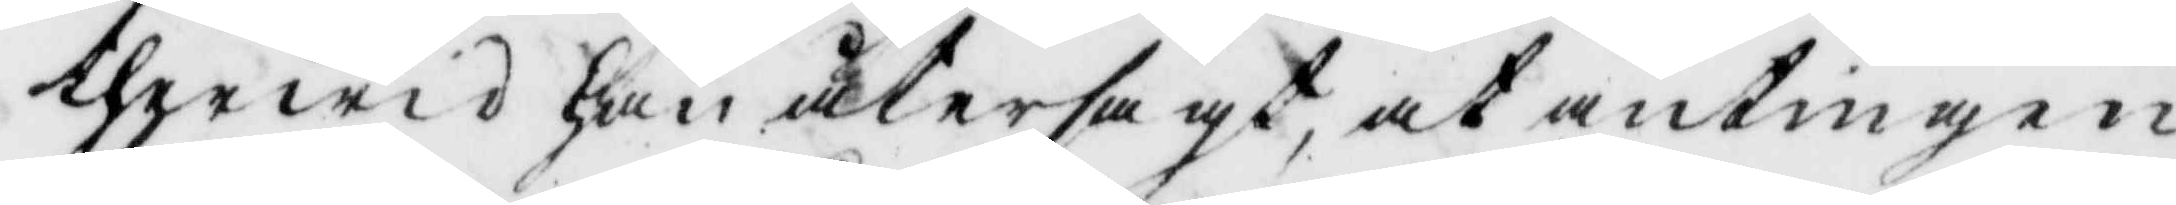therwid han åter sagt, at antingen
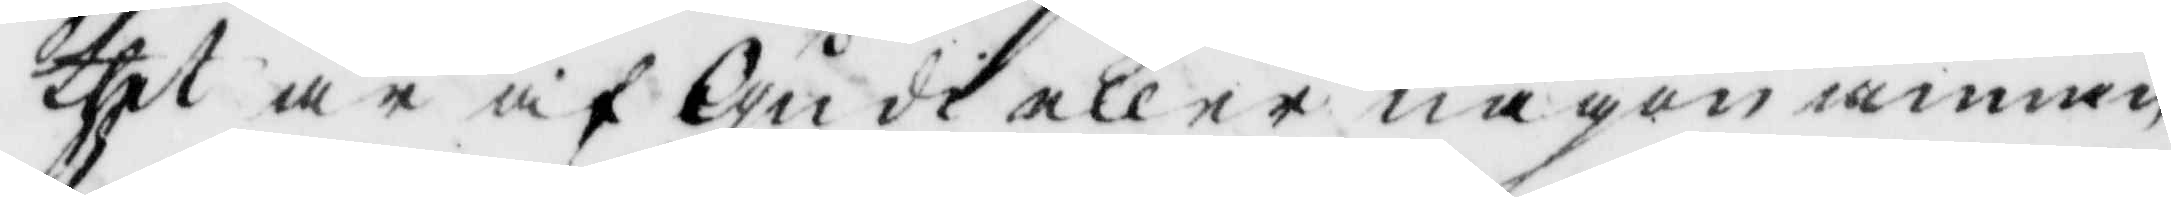thet är af Gusi allena någon annan
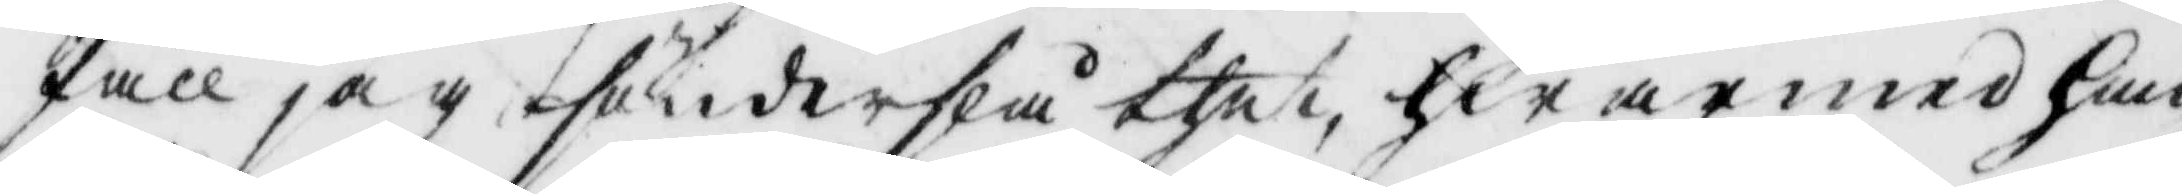fall jag sönderslå thet, hwarmed han
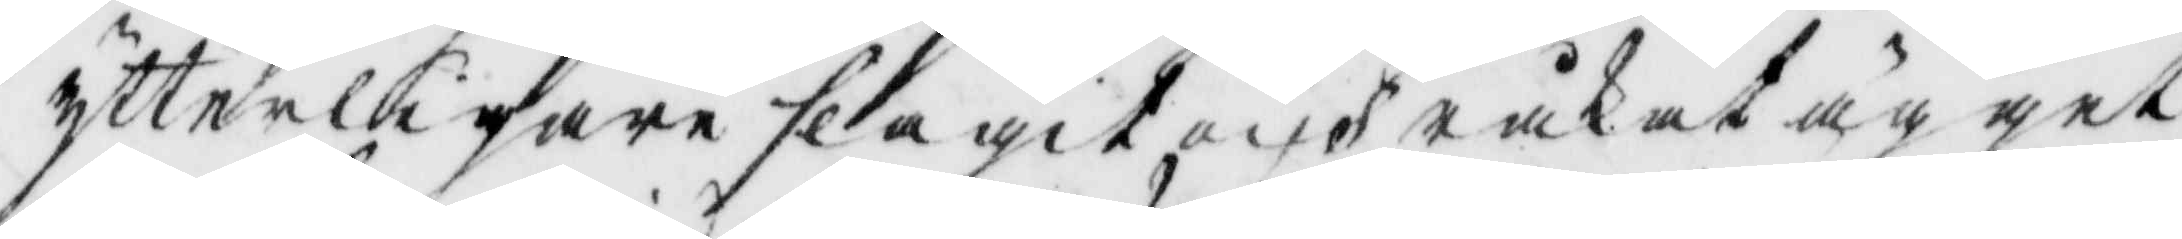ytterligare slagit och råkat ägget
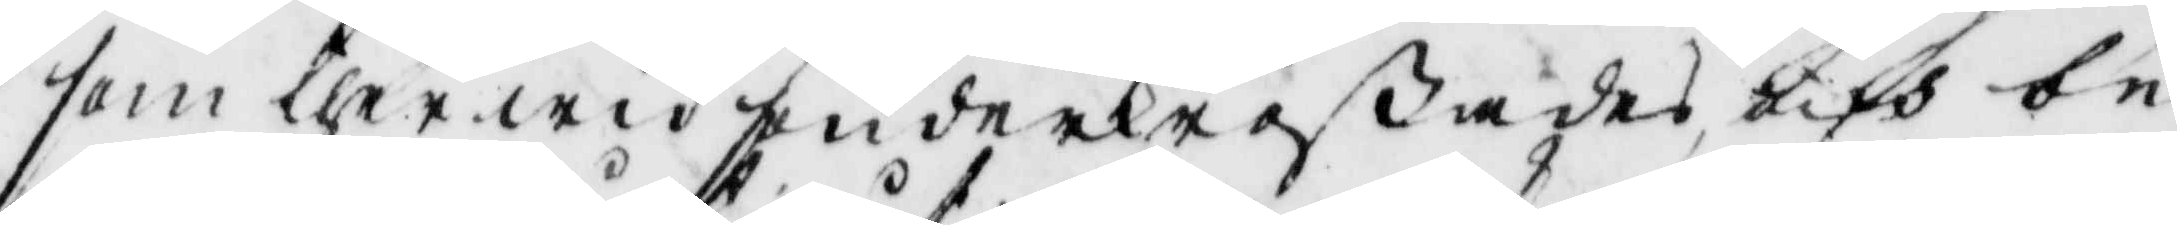som ther wid sunderkraßades, och be¬
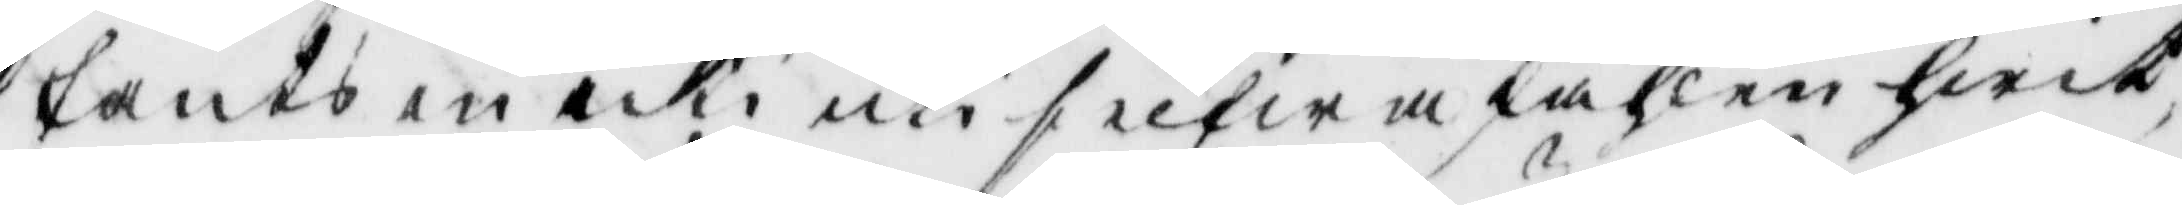fants måki uti sielfwa skahlen hwit,
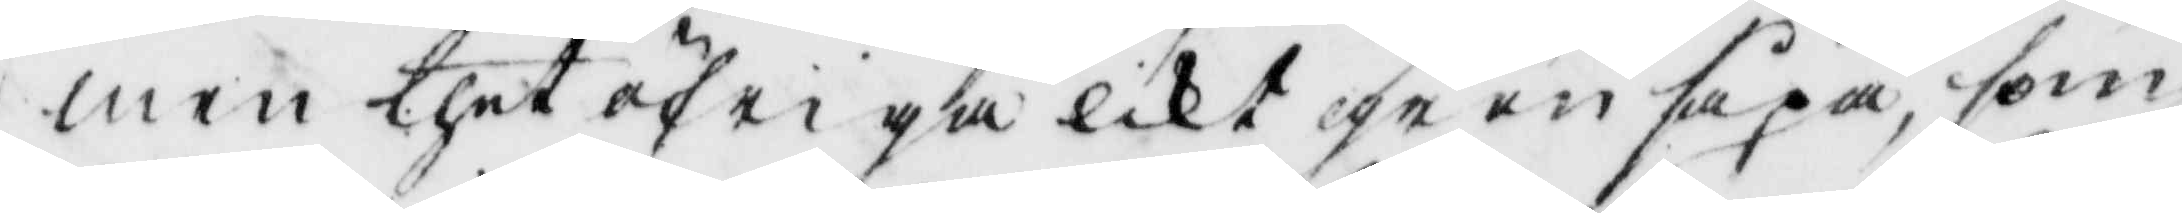men thet öfriga likt grön såpa, som
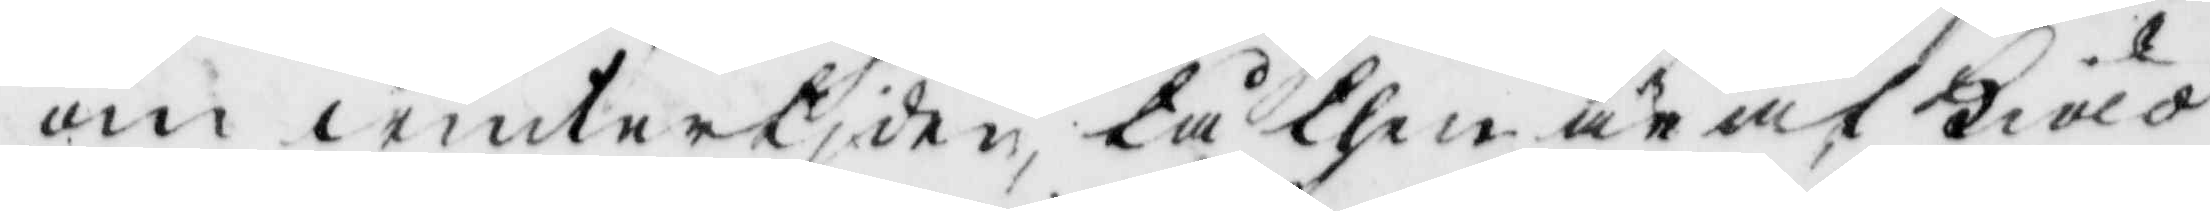om wintertiden, tå then ärat kiöld
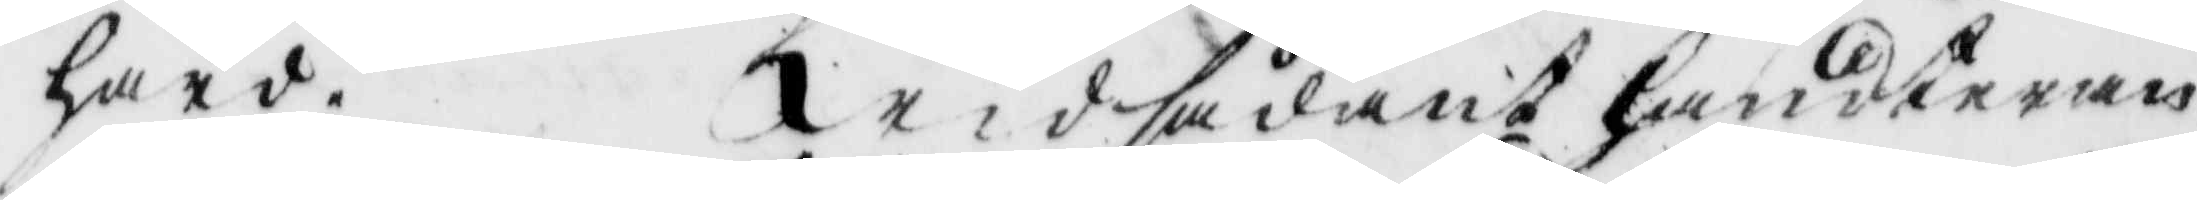hård. Wid sådant handteran¬
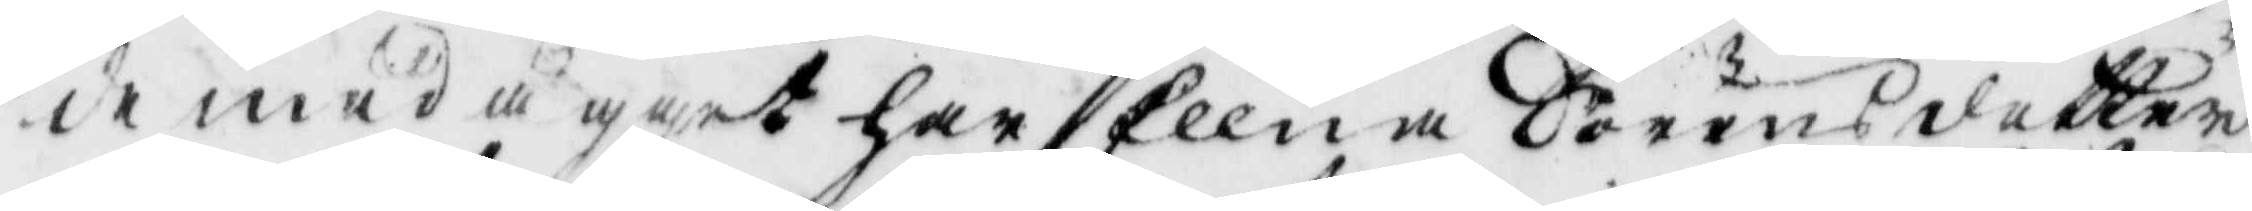de med ägget har Ellna Jöransdotter
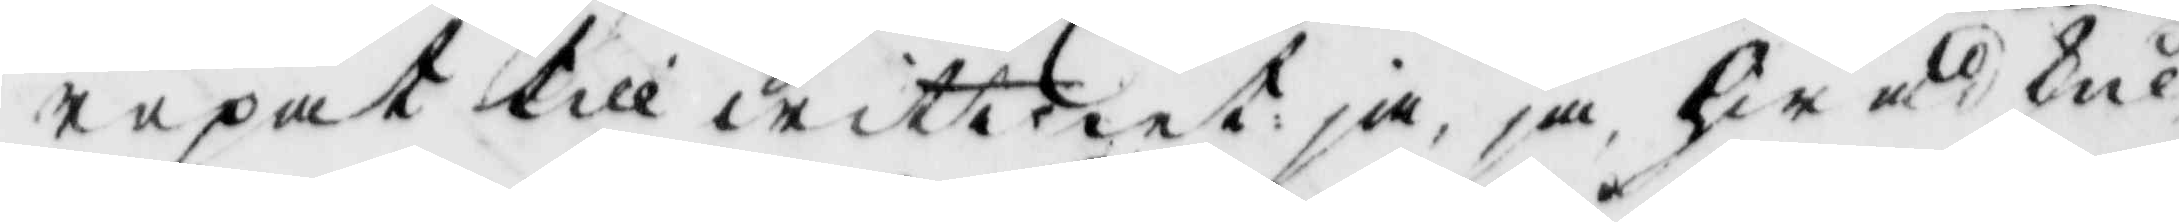ropat till wittnet, ja, ja, hwad skul¬
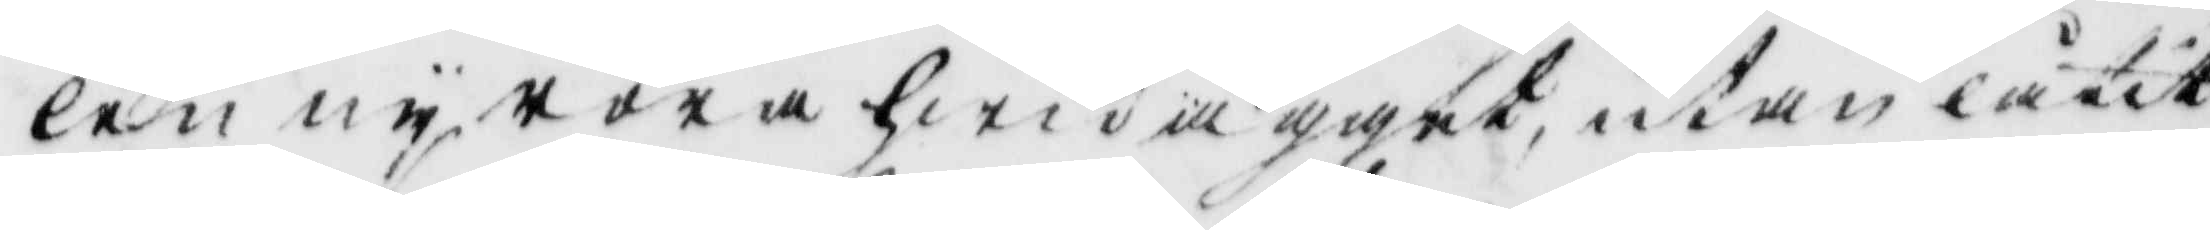len ny röra hwid ägget, utan låtit
